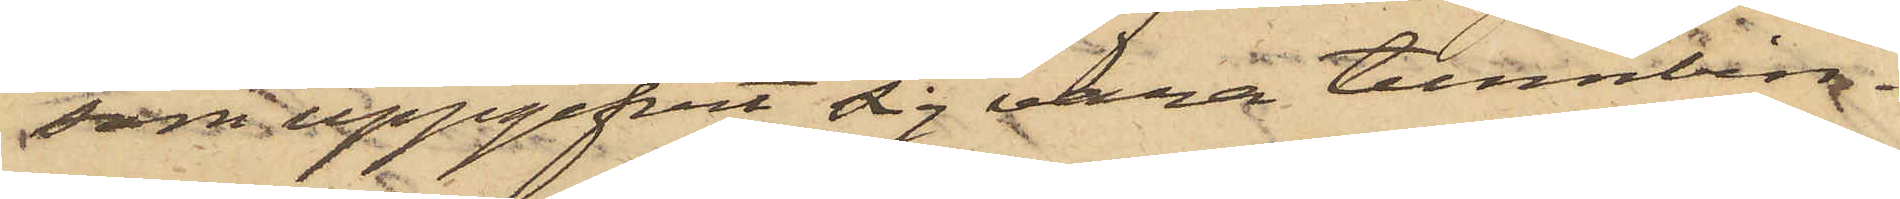som uppgifvit sig vara tunnbin¬
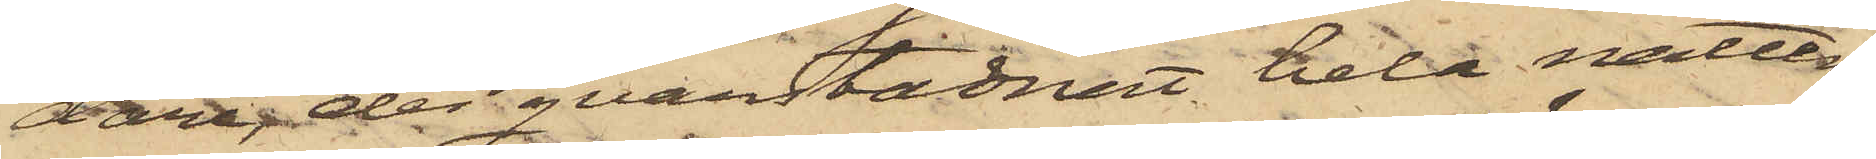dare, der qvarstadnat hela natten,
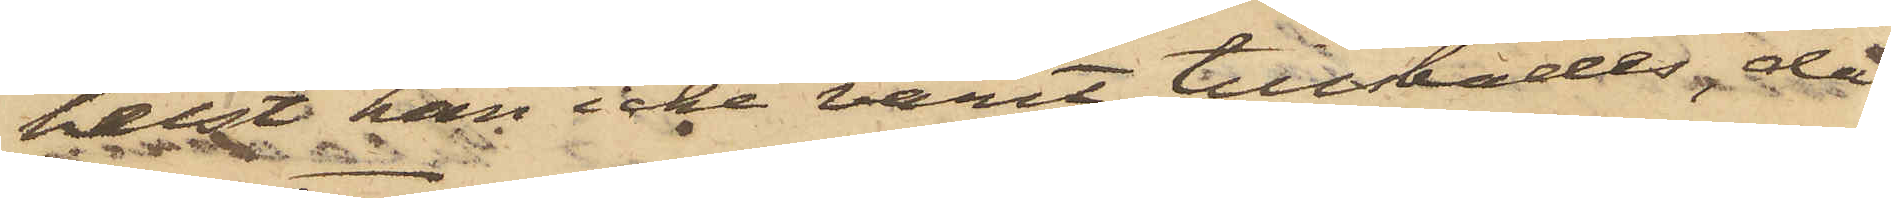helst han icke varit tillstädes, då
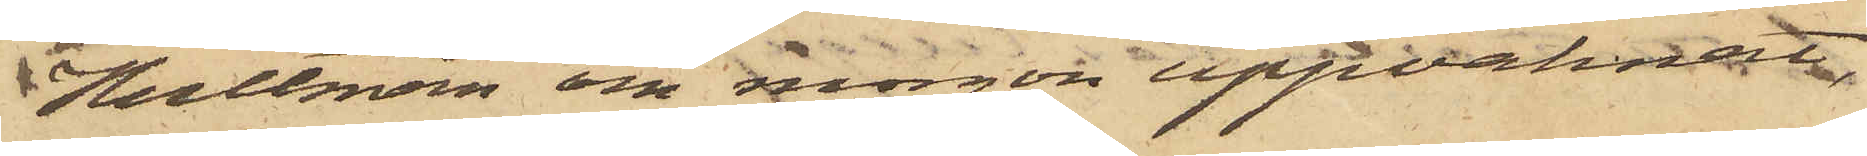Hultman om morgon uppvaknat,
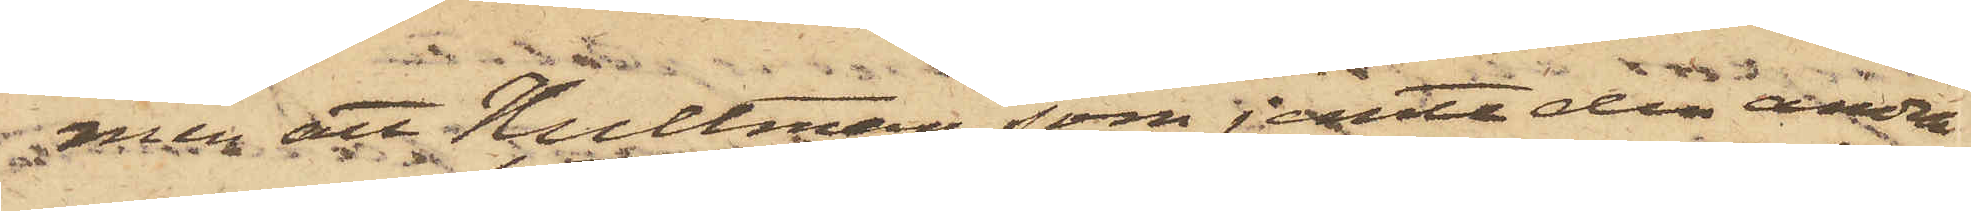men att Hultman, som jemte den andra
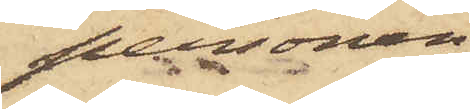personen,
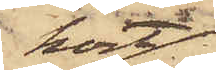kort
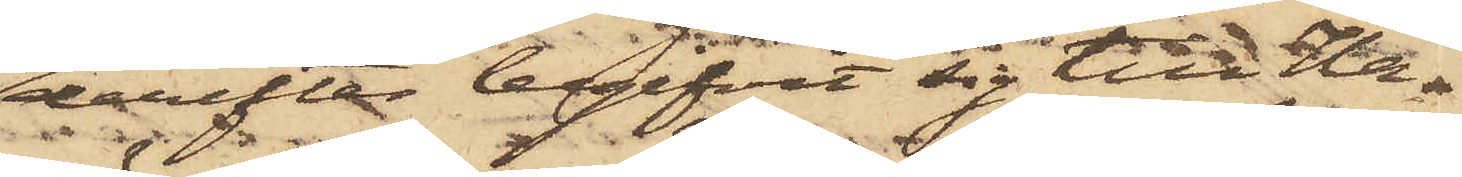derefter begifvit sig till Ha¬
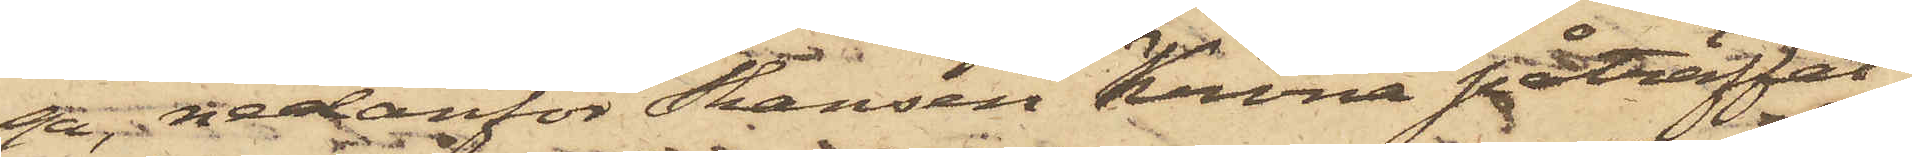ga, nedanför Skansen Krona påträffat
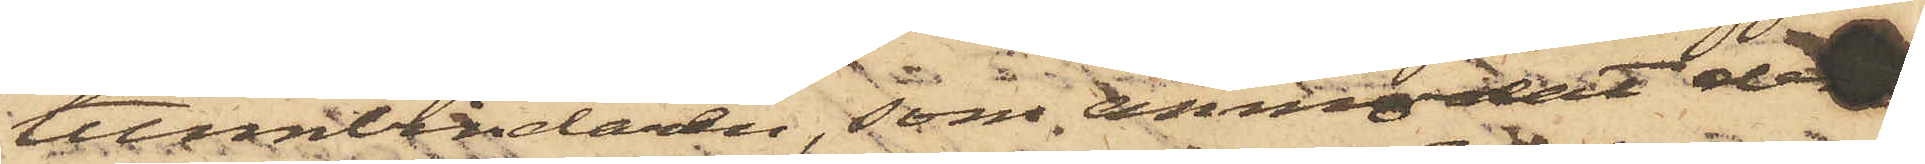tunnbindaren, som anmodat dem
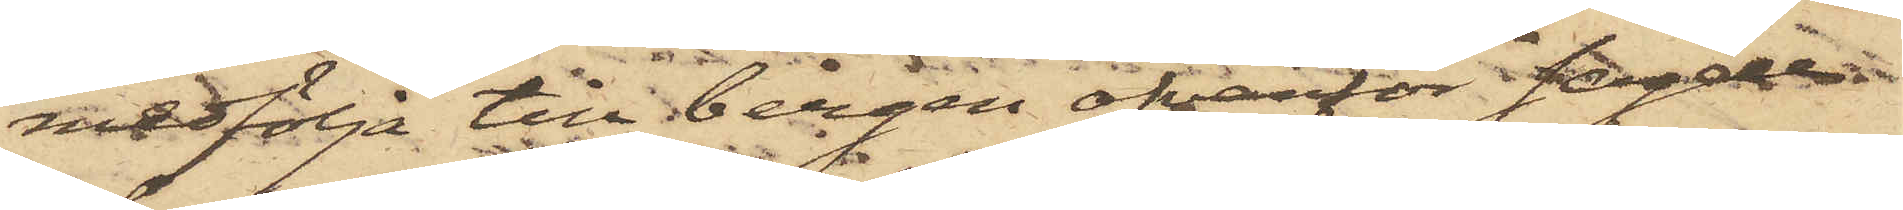medfölja till bergen ofvanför sagde
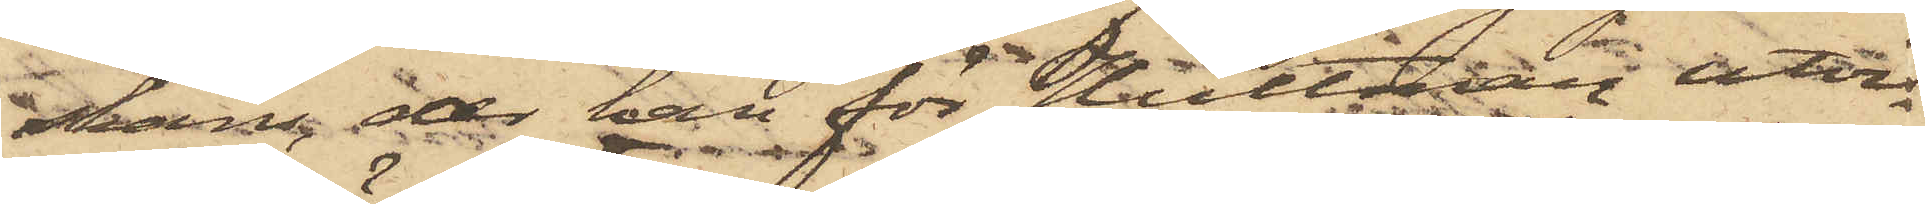skans, der han för Hultman utvi¬
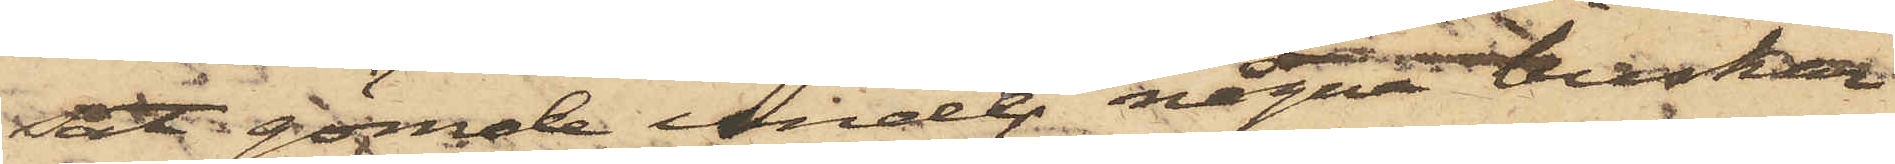sat gömde under några buskar
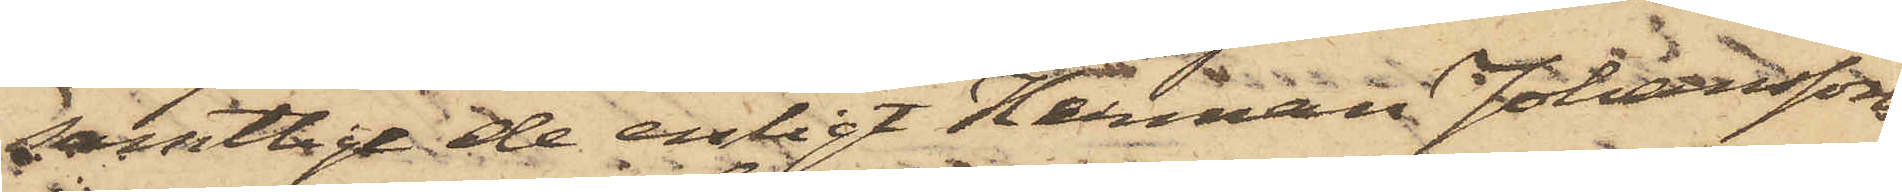samtlige de enligt Herman Johanssons
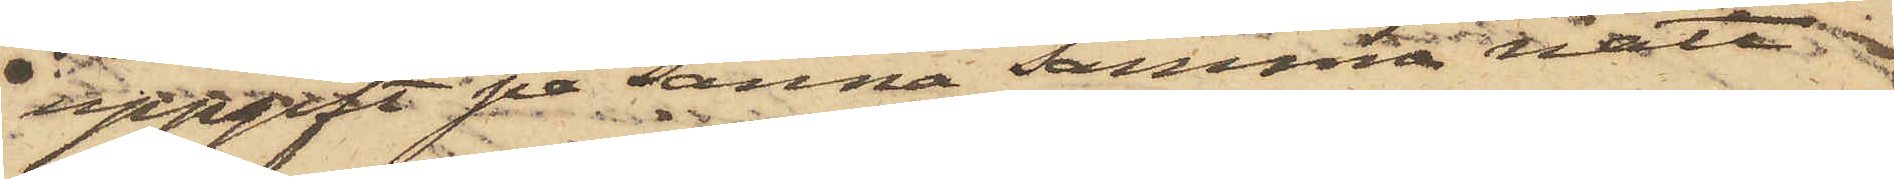uppgift på Sanna samma natt
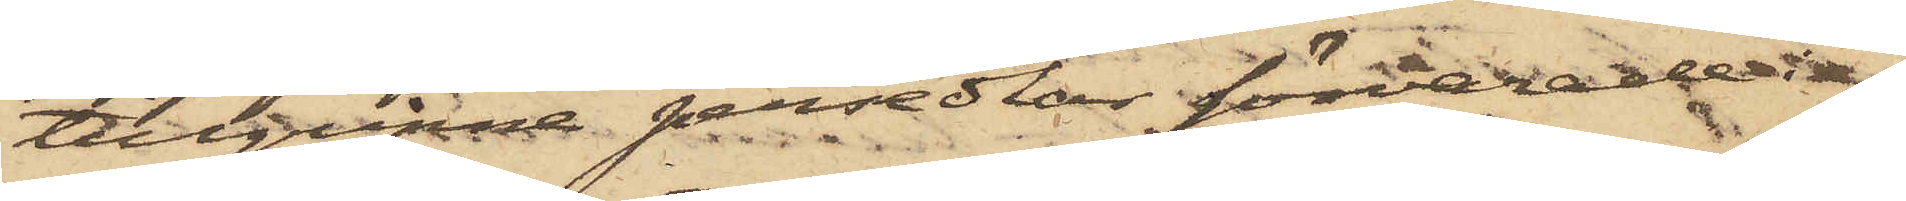tillgripne persedlar förvarade i
